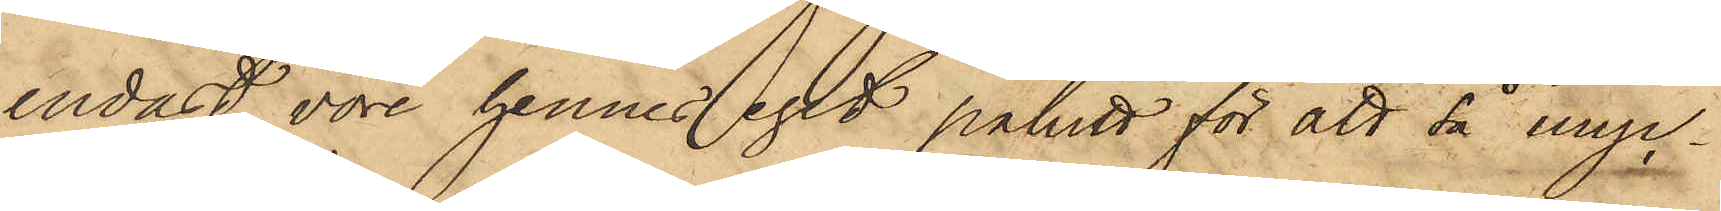endast vore hennes eget påhitt för att då myc¬
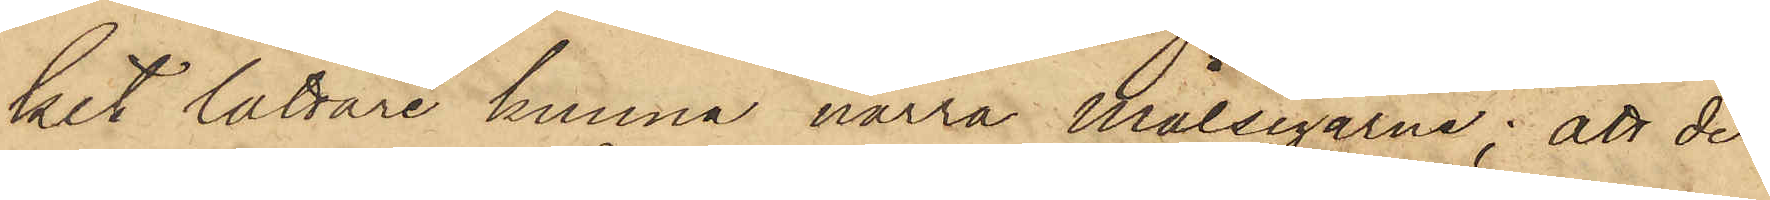ket lättare kunna narra Målsegarne; att de
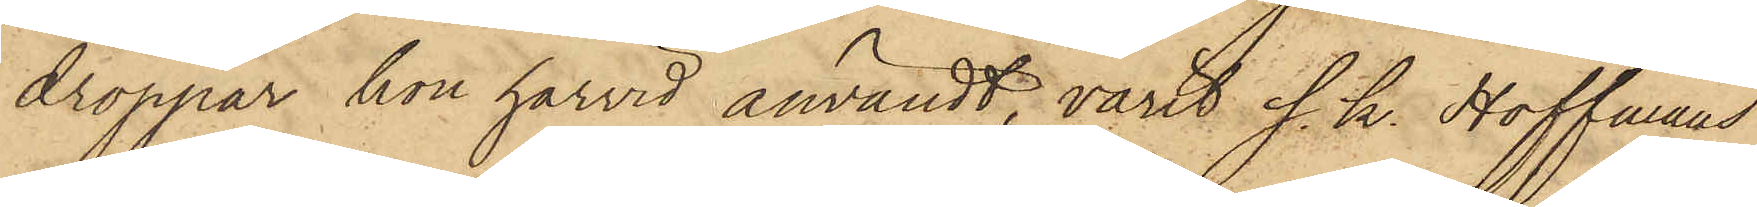droppar, hon härvid användt, varit s. k. Hoffmans
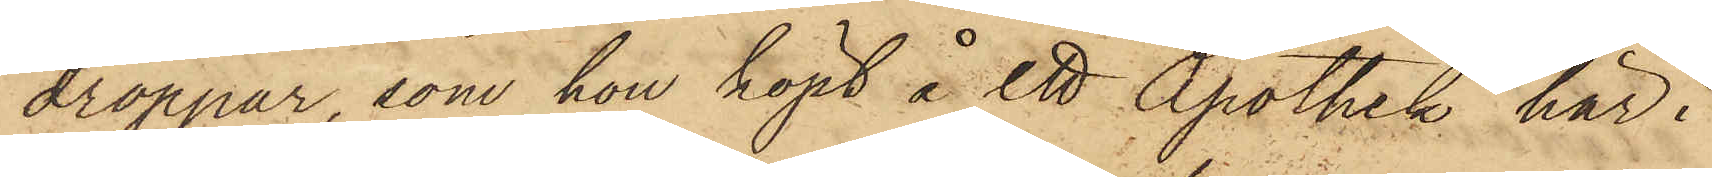droppar, som hon köpt å ett Apothek här i
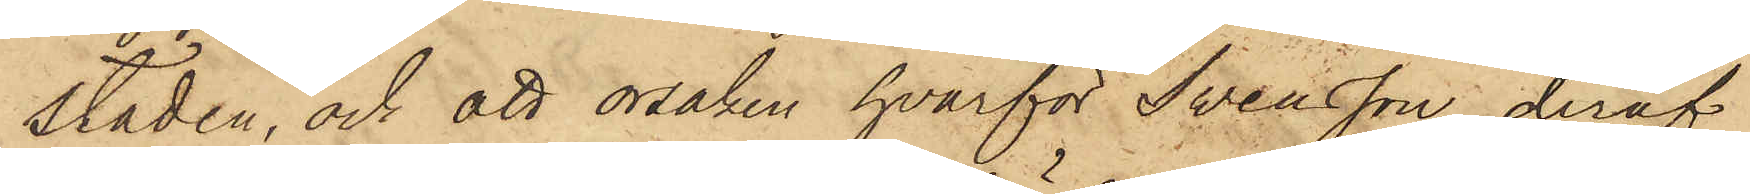Staden, och att orsaken, hvarför Svensson deraf
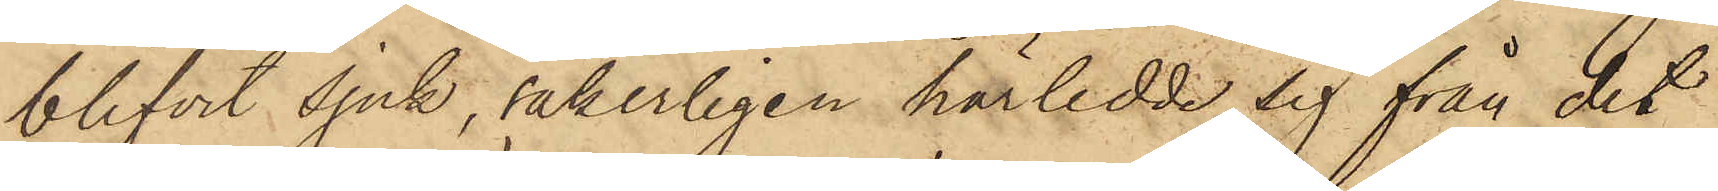blifvit Sjuk, säkerligen härledde sig från det
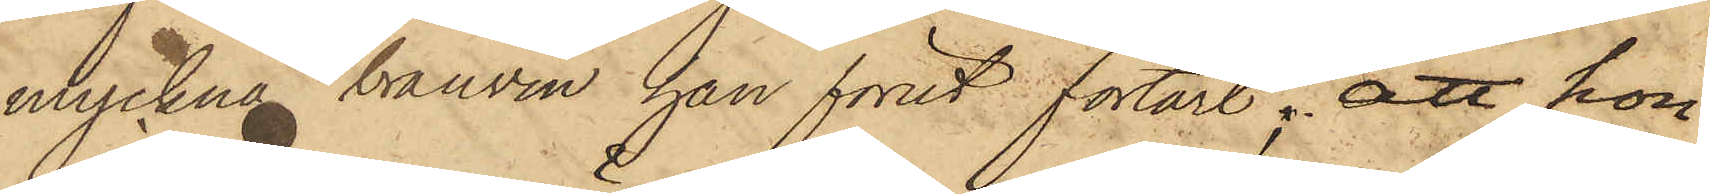myckna brännvin han förut förtärt; att hon
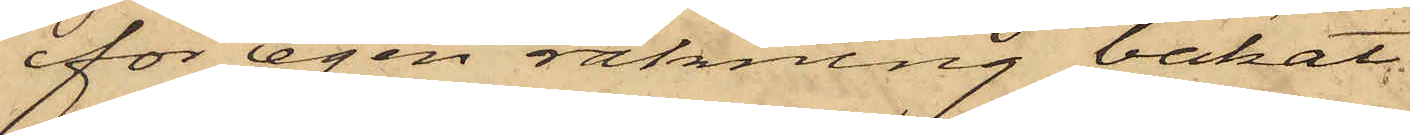för egen räkning bakat
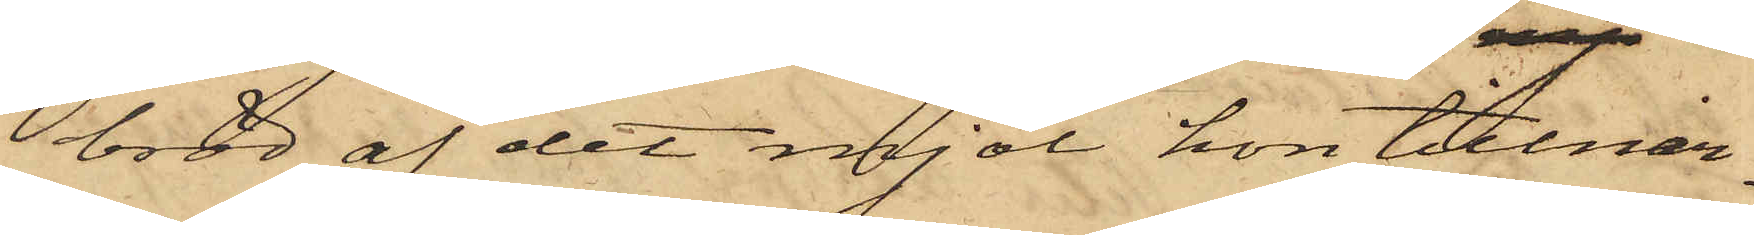bröd af det mjöl, hon tillnar¬
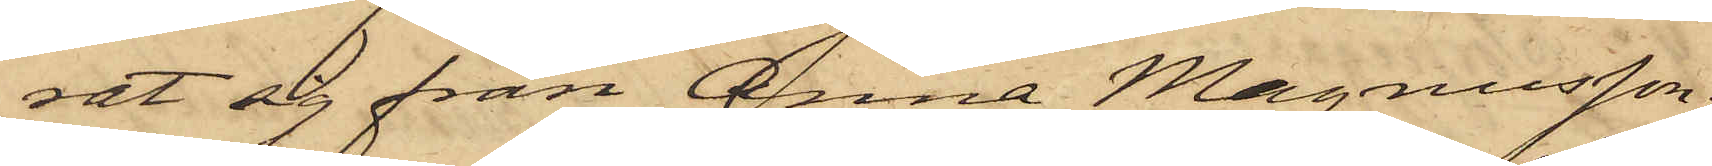rat sig från Anna Magnusson;
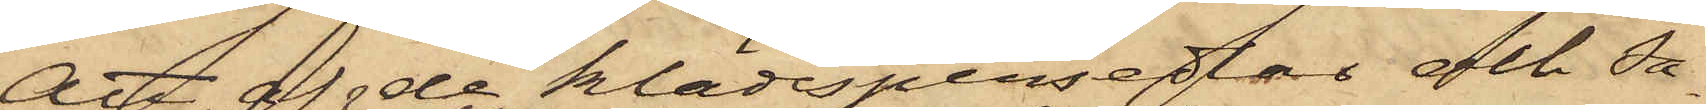Att af de klädespersedlar och Sa¬
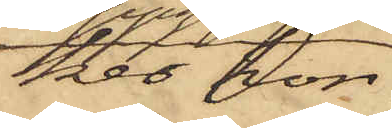ker hon
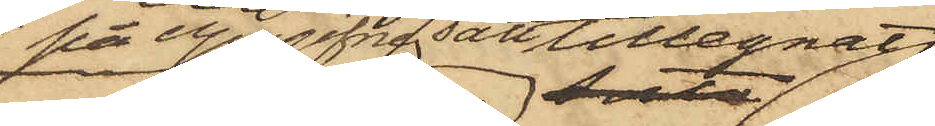på uppgifne sätt tillegnat
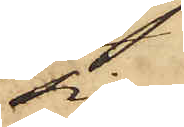sig
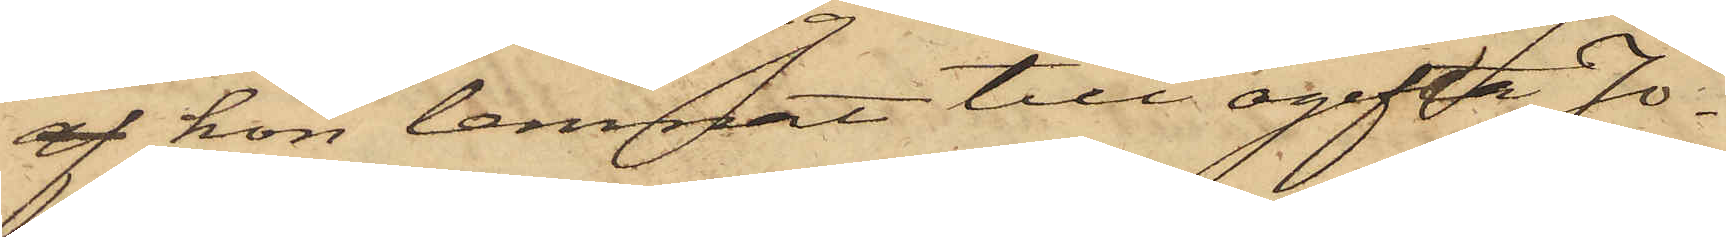af hon lemnat till ogifta Jo¬
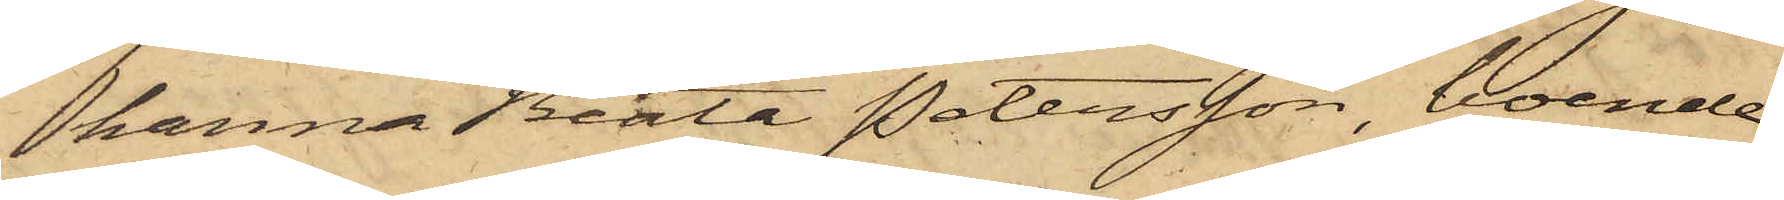hanna Beata Petersson, boende
